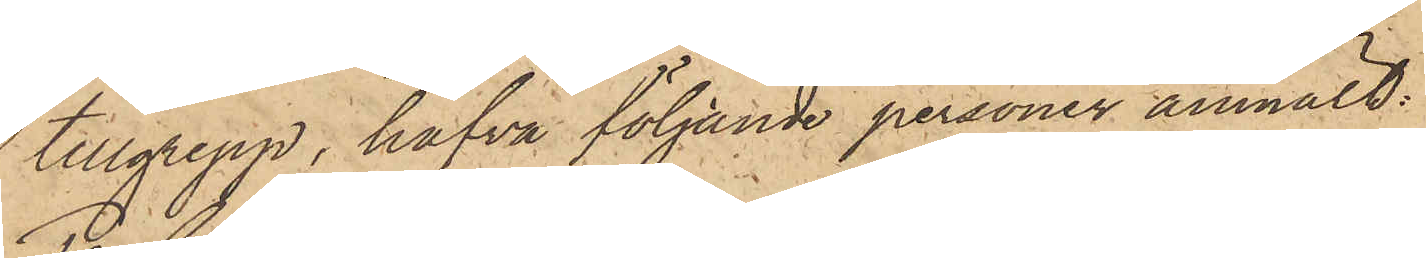tillgrepp, hafva följande personer anmält:
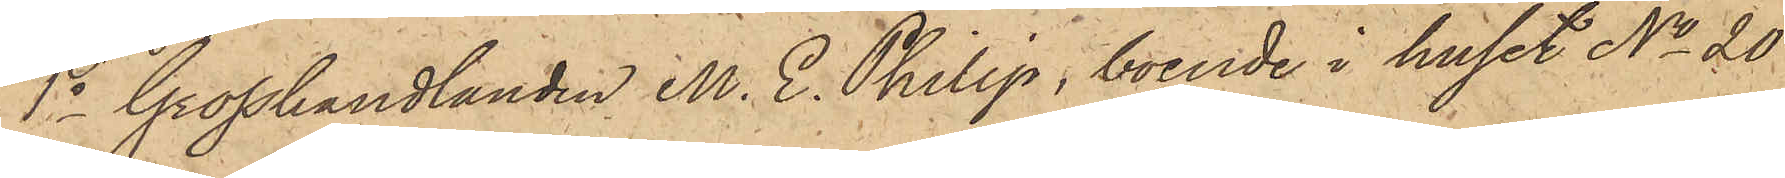1o Grosshandlanden M. E. Philip, boende i huset No 20
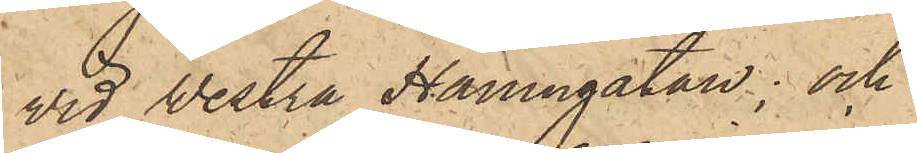vid Westra Hamngatan; och
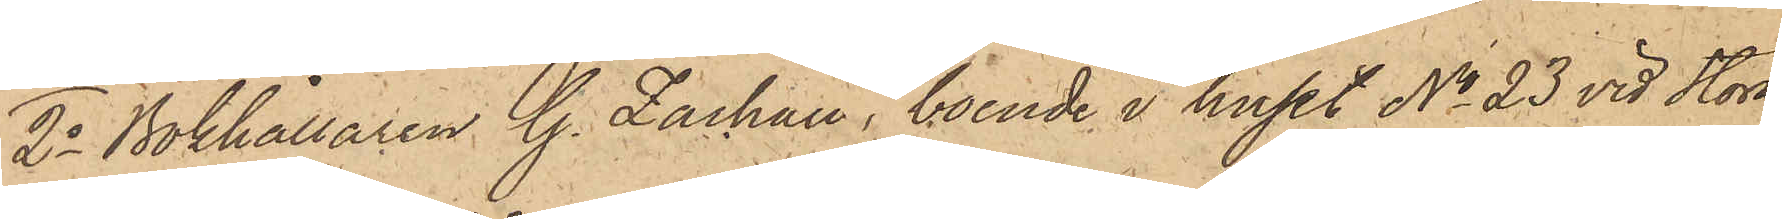2o Bokhållaren G. Zachau, boende i huset No 23 vid Stora
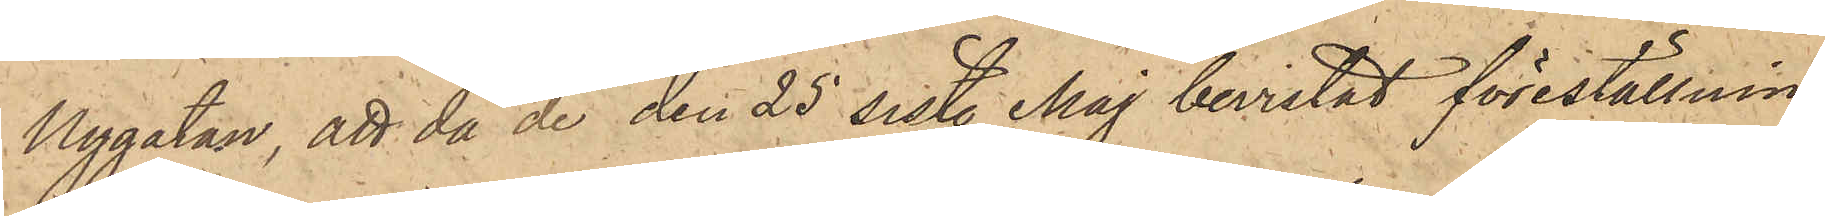Nygatan, att då de den 25 sist. Maj bevistat föreställnin¬
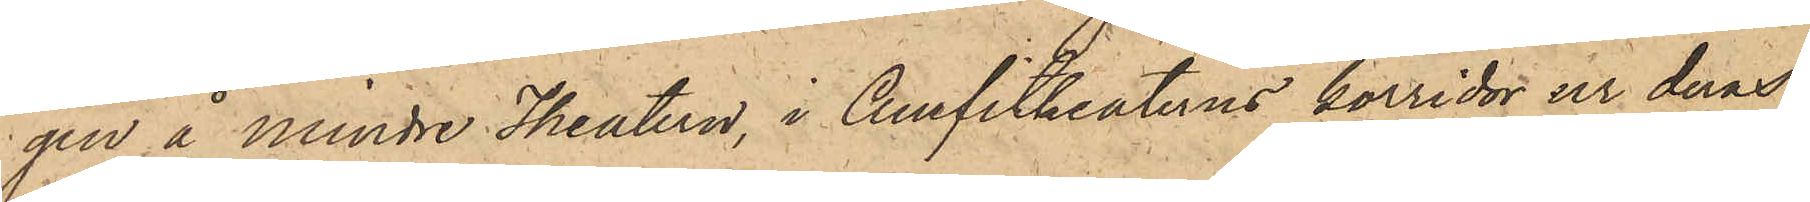gen å Mindre Theatern, i Amfitheaterns korridor ur deras
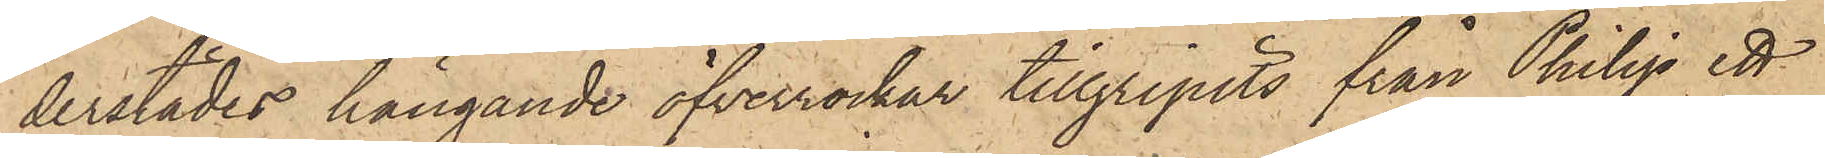derstädes hängande öfverrockar tillgripits från Philip ett
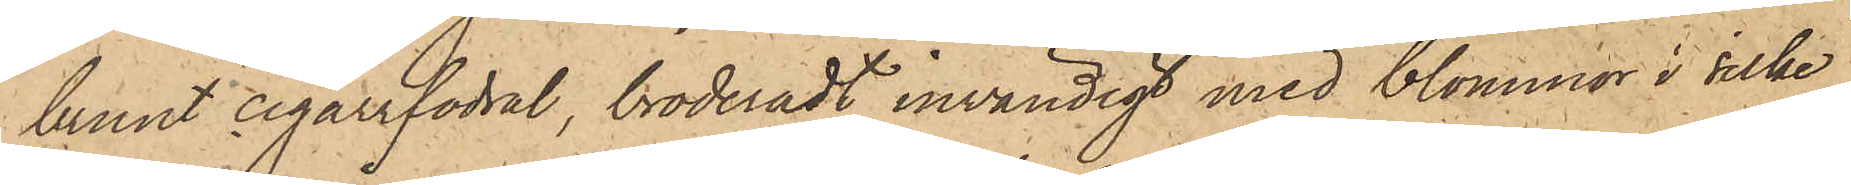brunt cigarrfodral, broderadt invändigt med blommor i silke,
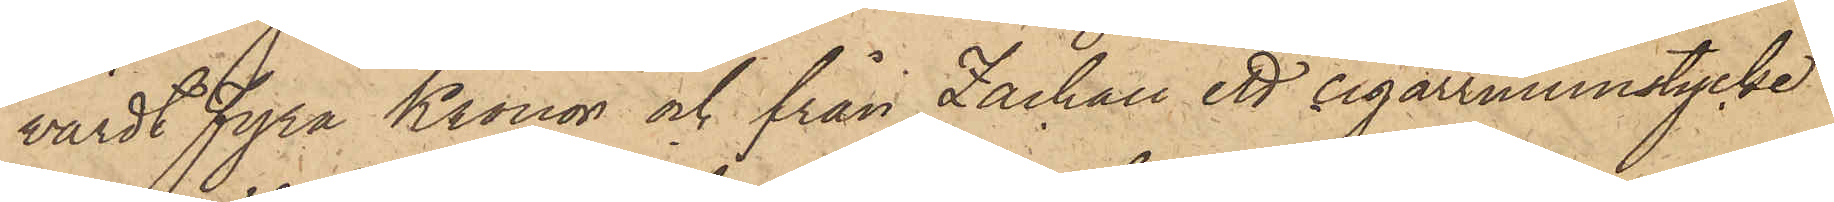värdt Fyra Kronor och från Zachau ett cigarrmunstycke
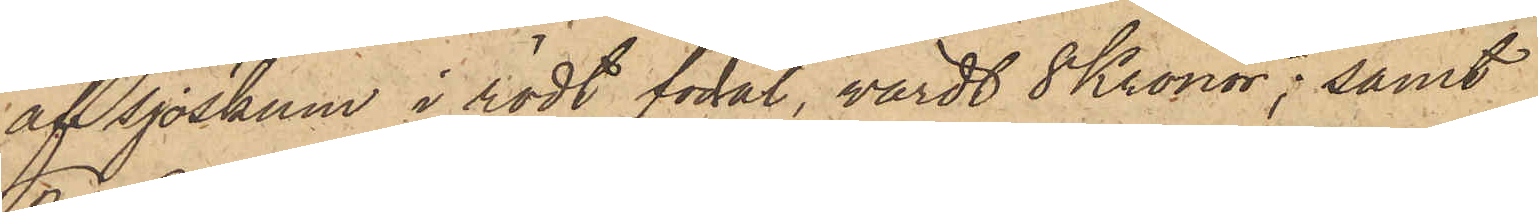af sjöskum i rödt fodal, värdt 8 Kronor; samt
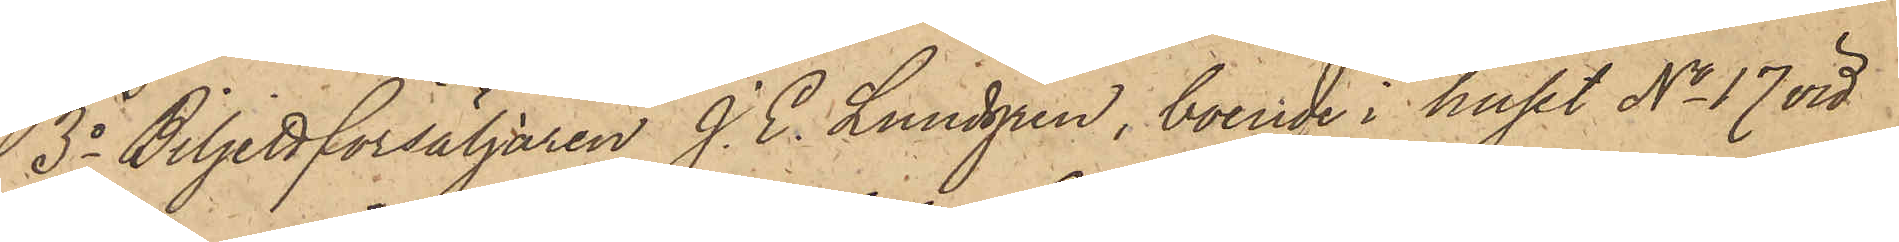3o Biljettförsäljaren J. E. Lundgren, boende i huset No 17 vid
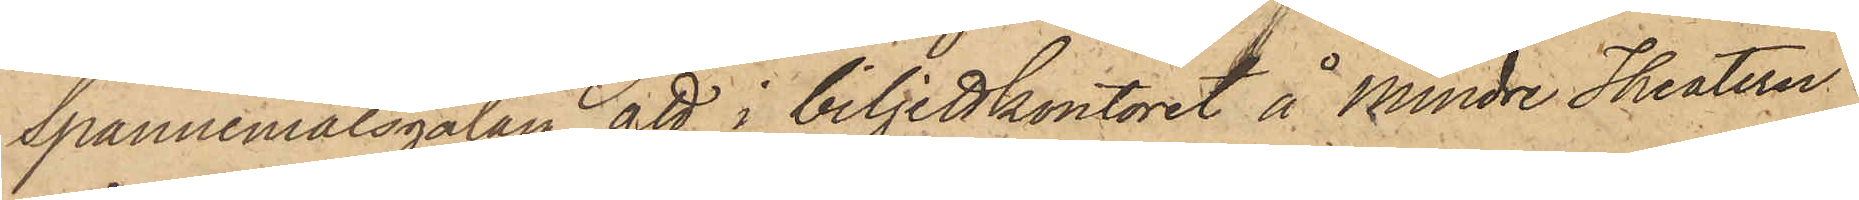Spannmålsgatan, att i biljettkontoret å Mindre Theatern
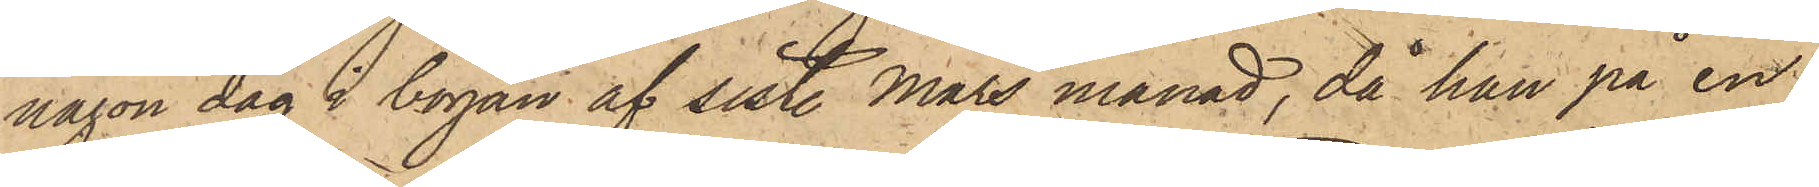någon dag i början af sist. Mars månad, då han på en
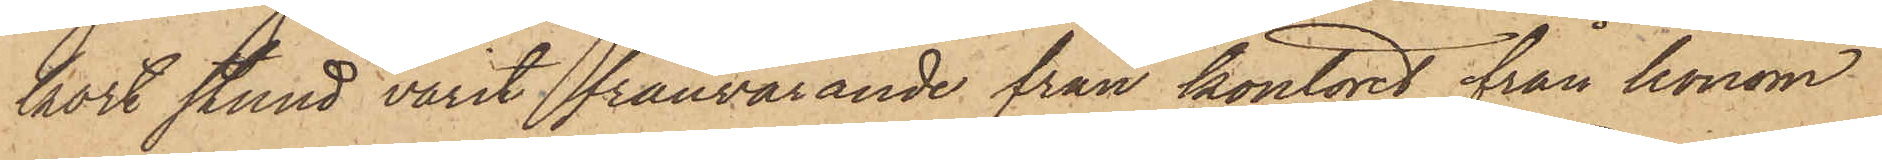kort stund varit frånvarande från kontoret, från honom
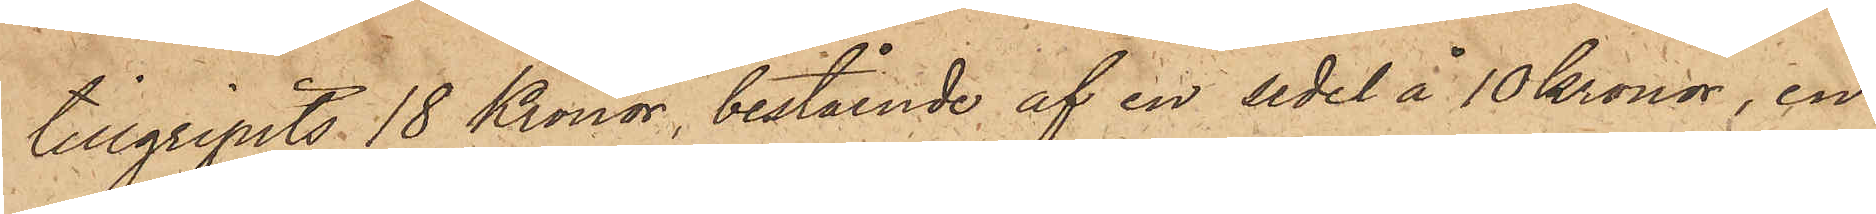tillgripits 18 Kronor, bestående af en sedel å 10 Kronor, en
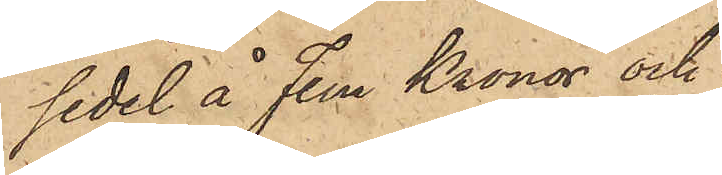sedel å Fem Kronor och
